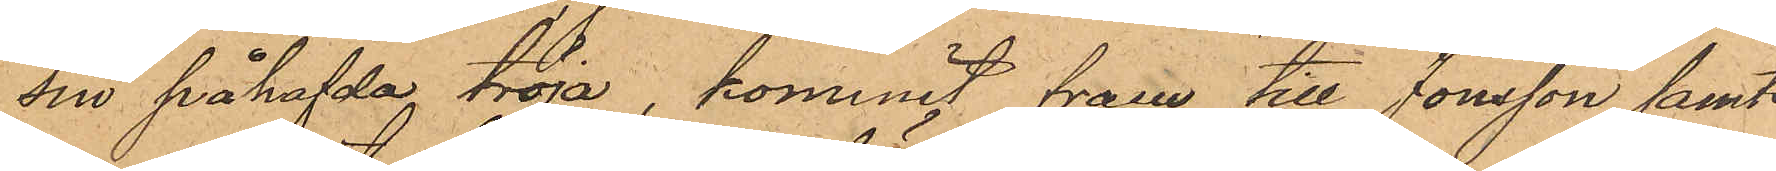sin påhafda tröja, kommit fram till Jonsson samt
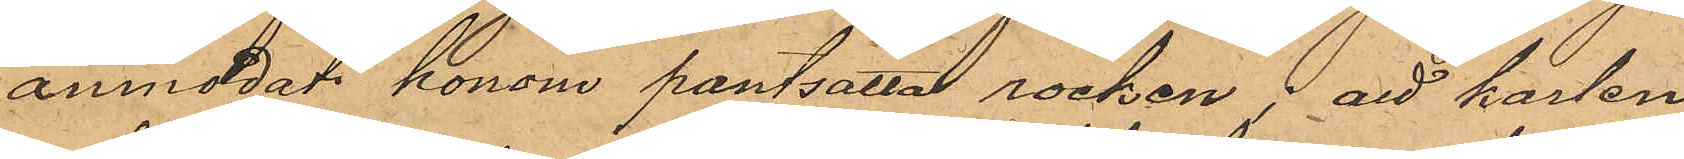anmodat honom pantsatta rocken; att karlen
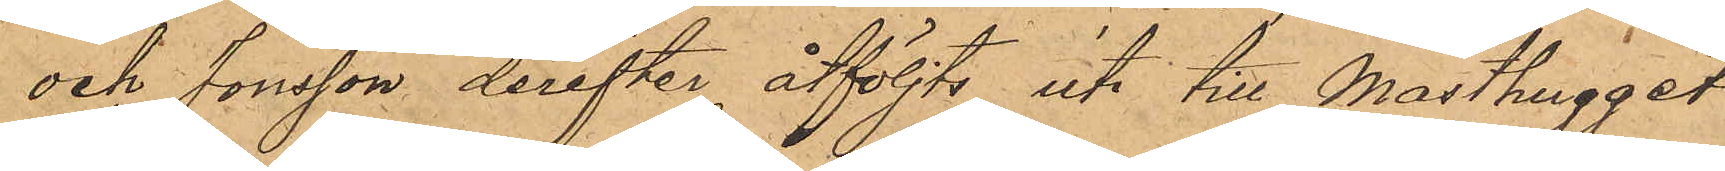och Jonsson derefter åtföljts ut till Masthugget,
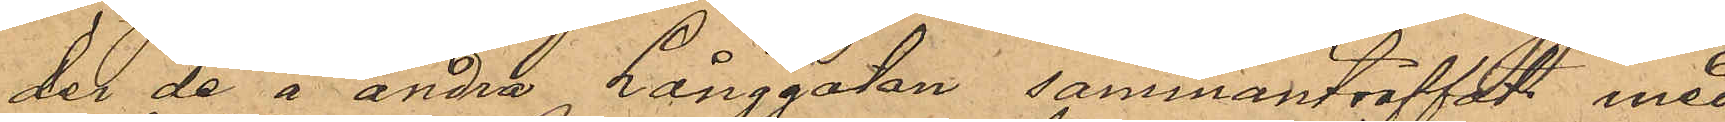der de å andra Långgatan sammanträffat med
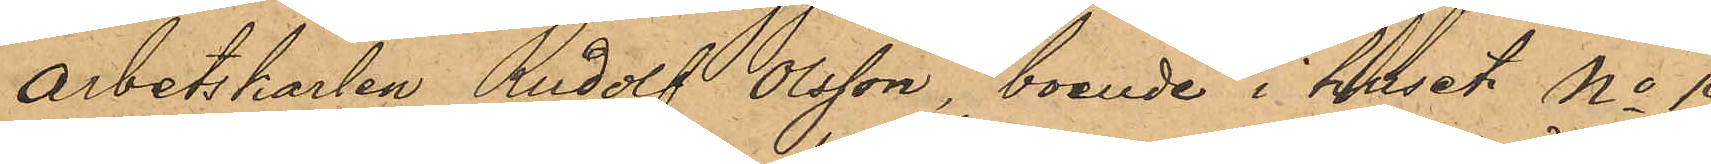Arbetskarlen Rudolf Olsson, boende i huset No 19
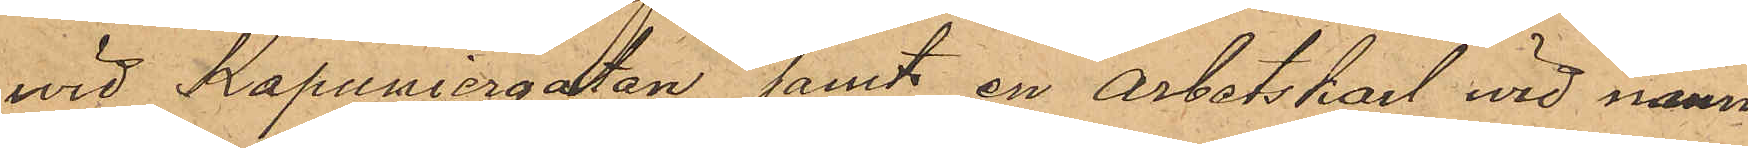vid Kapuniergatan samt en arbetskarl wid namn
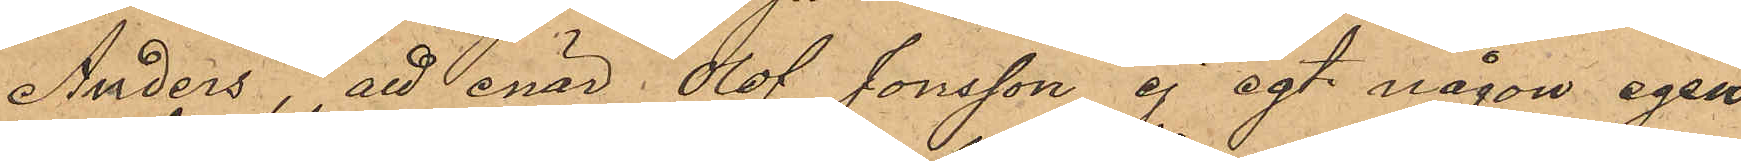Anders; att enär Olof Jonsson ej egt någon egen
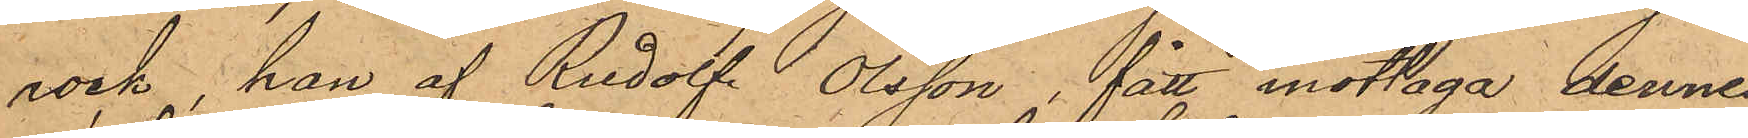rock, han af Rudolf Olsson, fått mottaga dennes
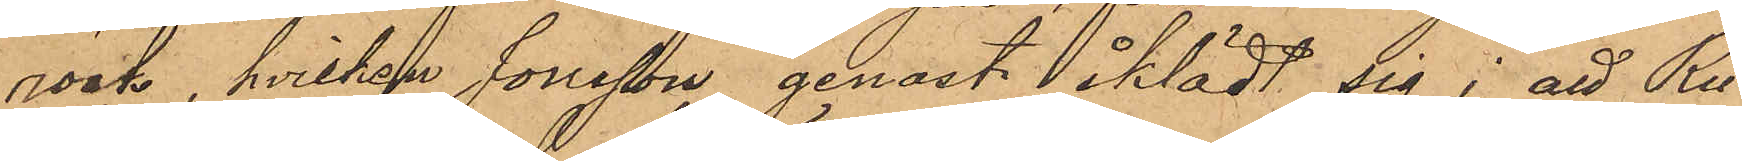rock, hvilken Jonsson genast iklädt sig; att Ru¬
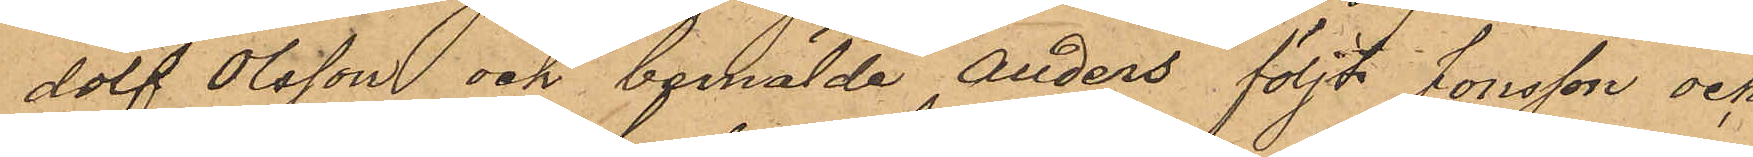dolf Olsson och bemälde Anders följt Jonsson och
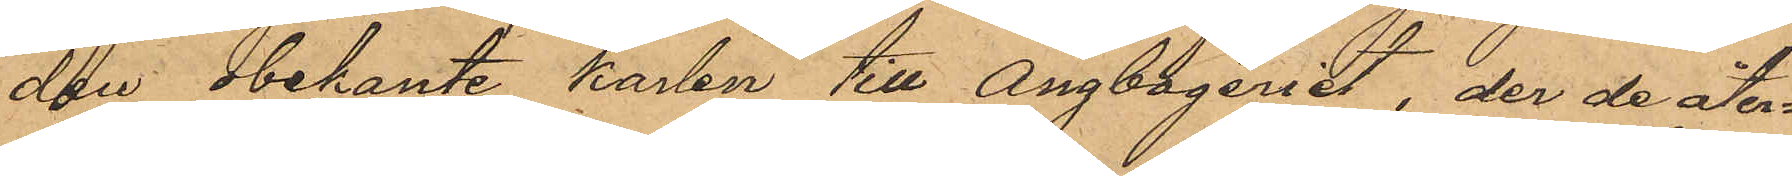den obekante karlen till Ångbageriet, der de åter¬
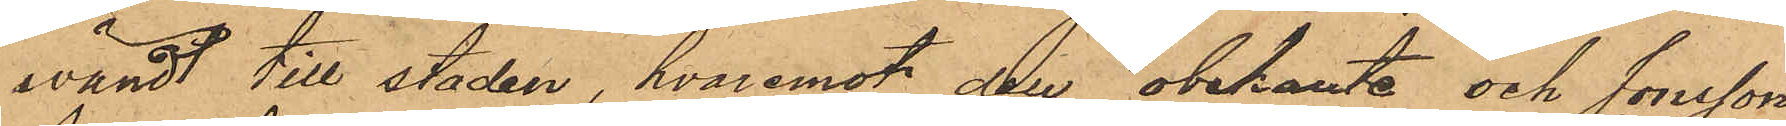vändt till staden, hvaremot den obekante och Jonsson
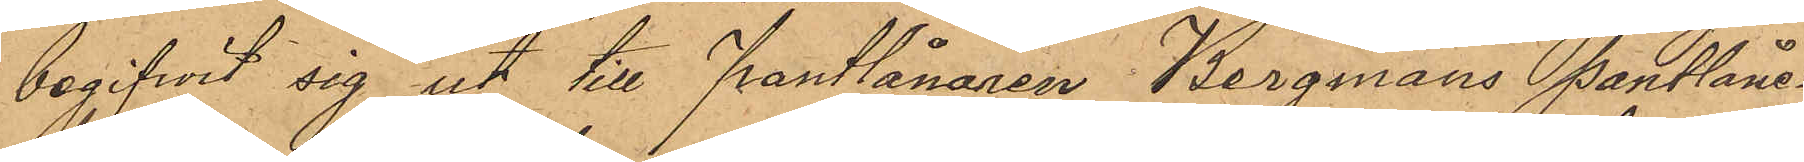begifwit sig ut till Pantlånaren Bergmans Pantlåne¬
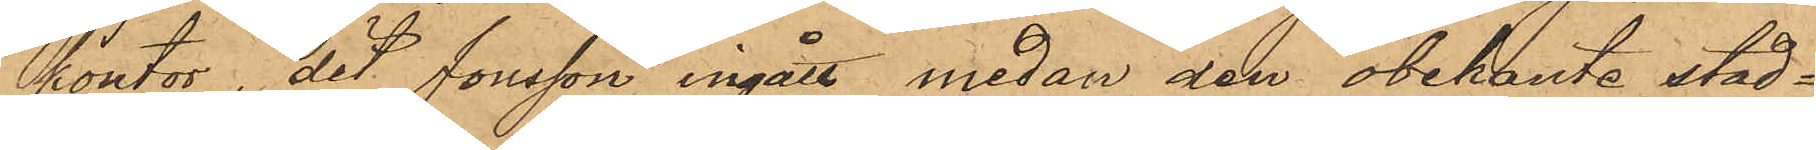kontor, det Jonsson ingått medan den obekante stad¬
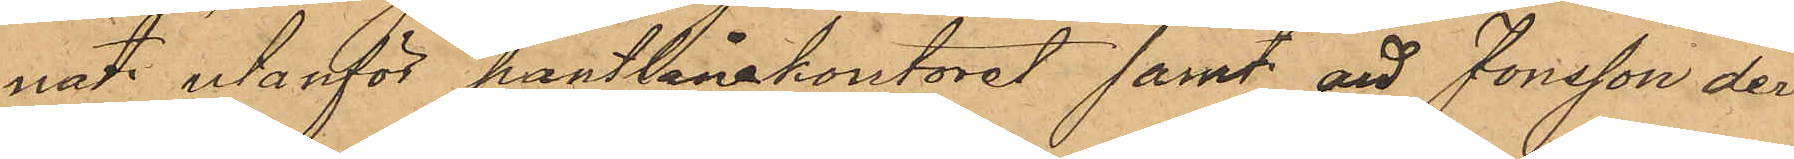nat utanför pantlånekontoret samt att Jonsson der¬
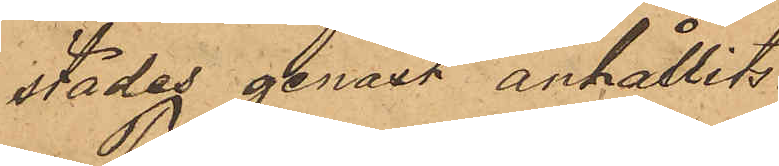städes genast anhållits.
